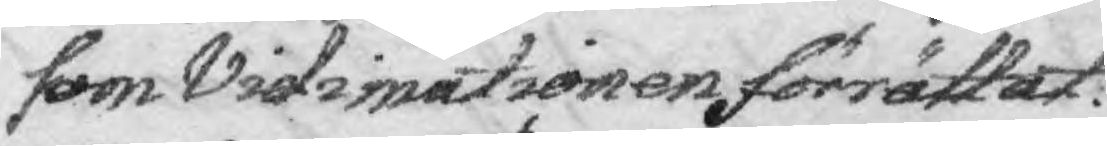som Vidimationen förrättat.
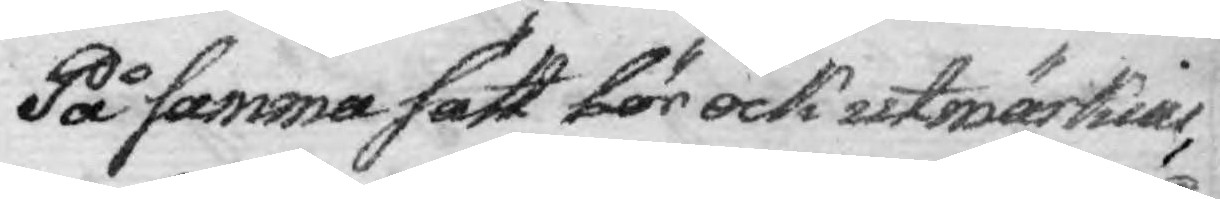På samma sätt bör ock utmärkias,
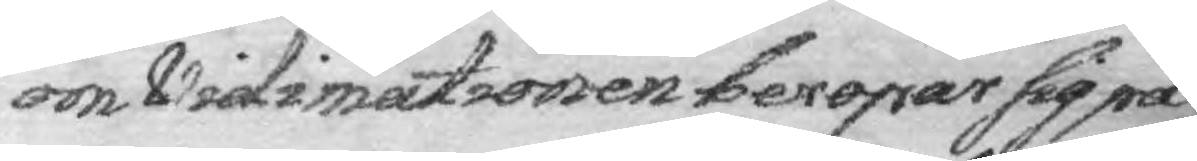om Vidimationen beropar sig på
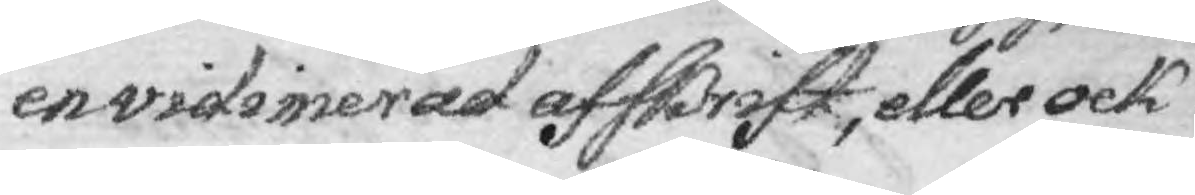 en vidimerad afskrift, eller ock
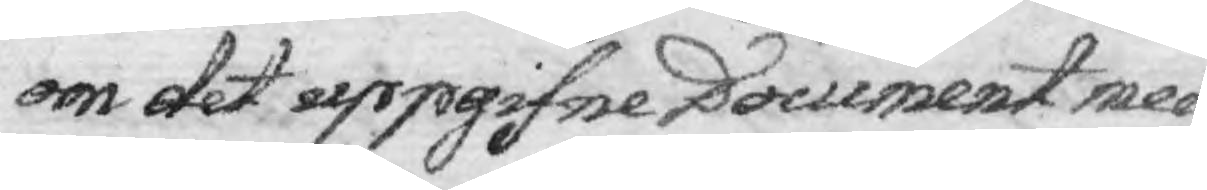om det uppgifne Docement med
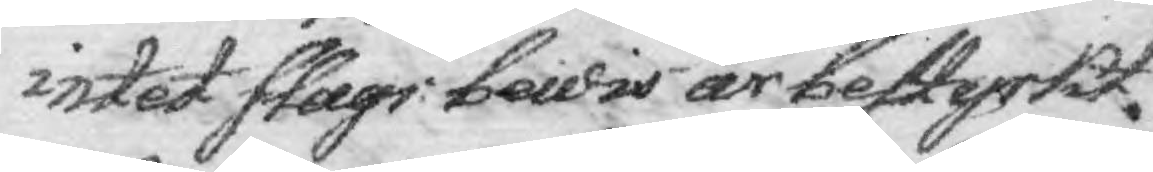intet salgs bewis är bestyrkt
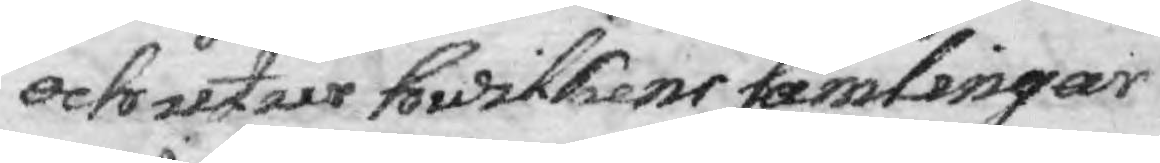och utan hwlikens samlingar
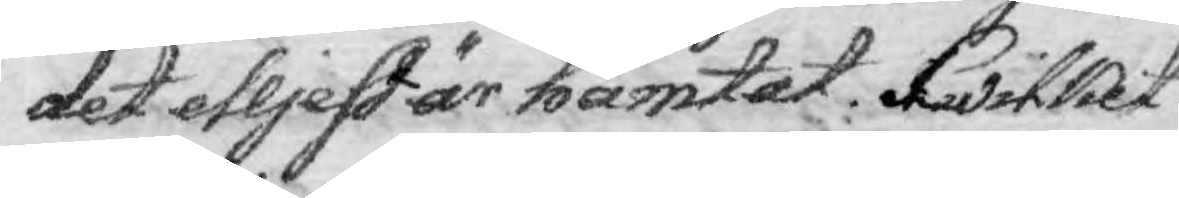det elljest är hämtat. Hwilket
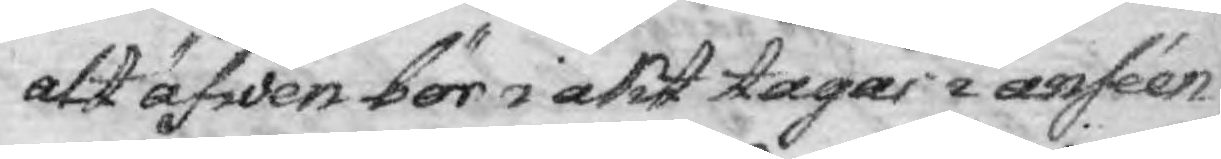att äfwen bör  i akt tagas i anséen¬
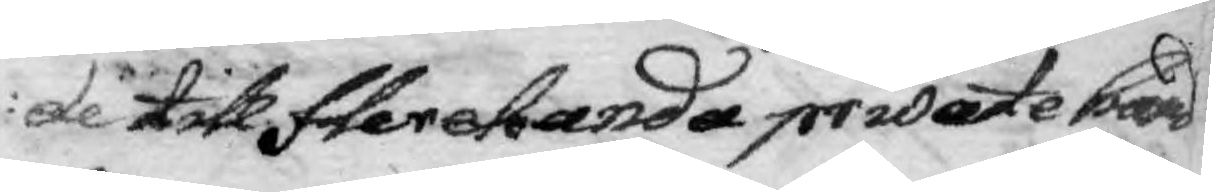de till flerehanda private hand¬
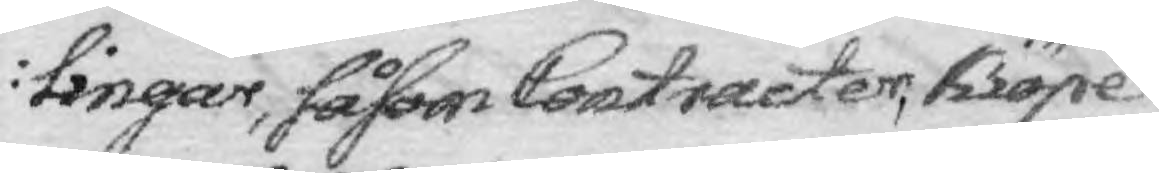lingar, såsom Contracter, Kiöpe¬
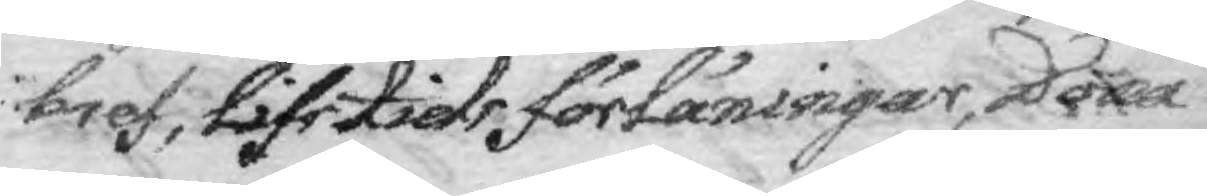bref, Lifstids förläningar, Dona¬
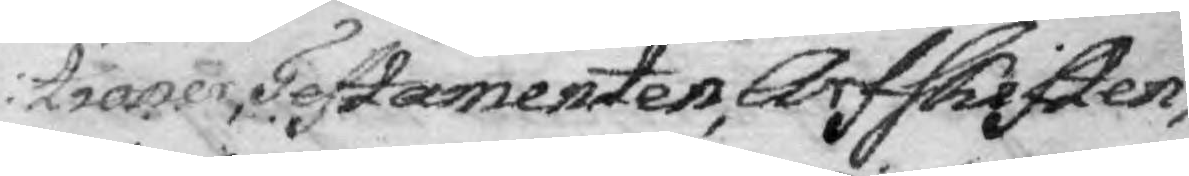tioner, Testamenten, Arfskiften,
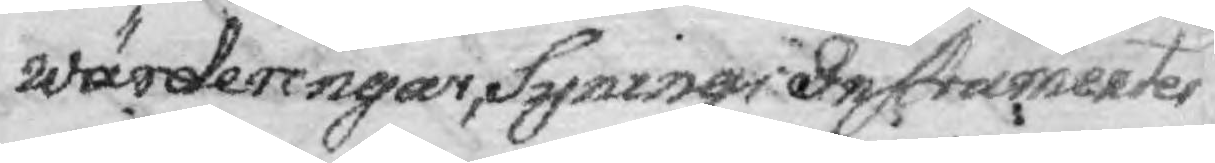Wärderingar, Syningar, Instrumentes
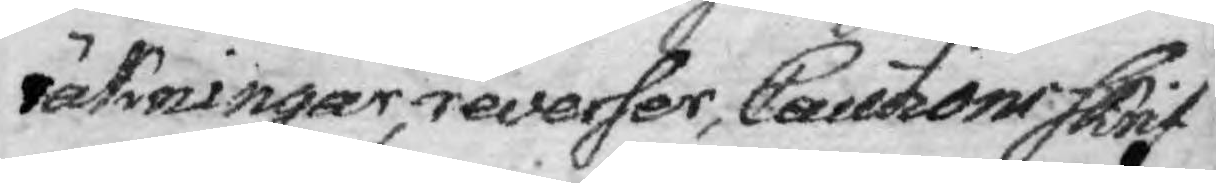räkningar, reverser, Cautions Skrift¬
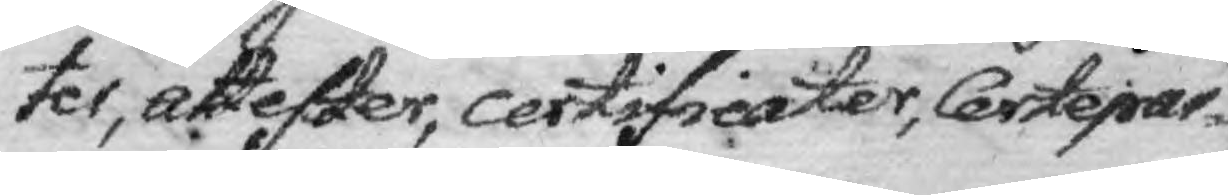ter, attester, certificater, Certepar¬
